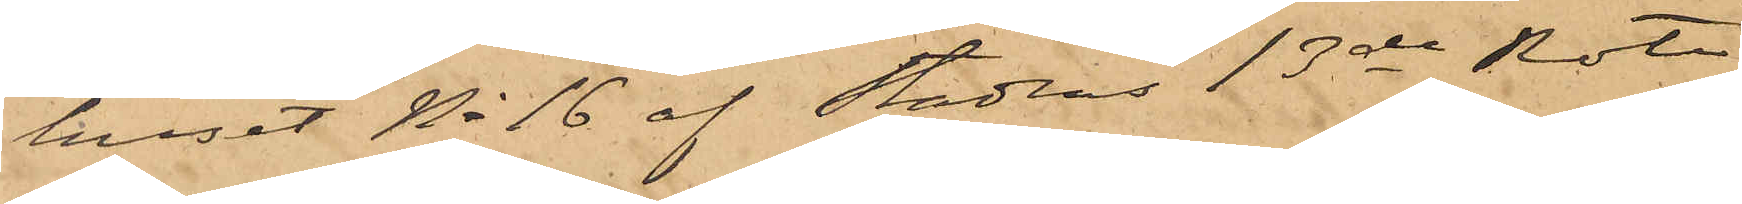huset No 16 af Stadens 13de Rote
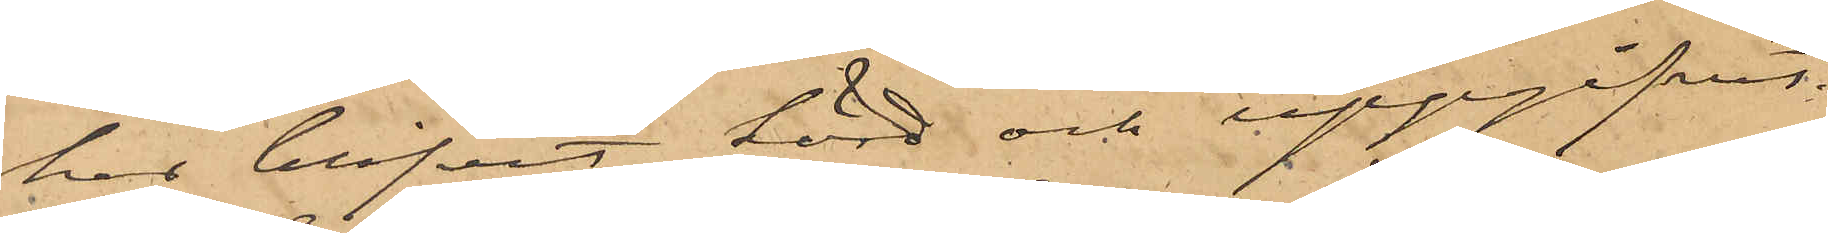har blifvit hörd och uppgifvit
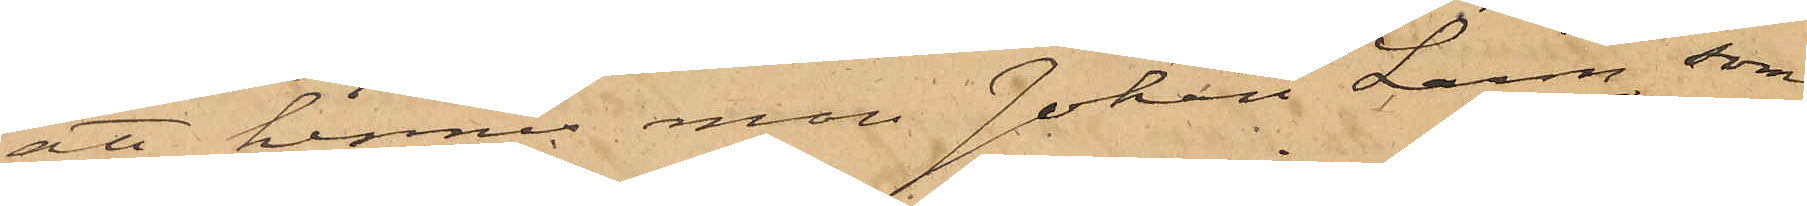att hennes man Johan Larm, som
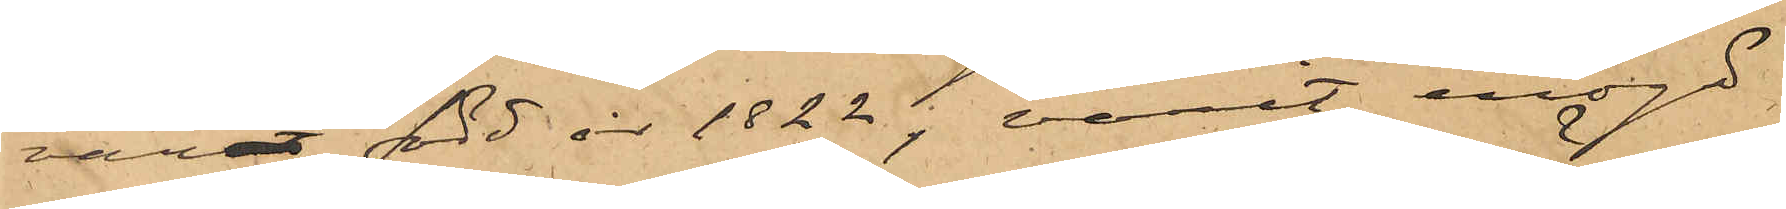varit född år 1822, varit enögd
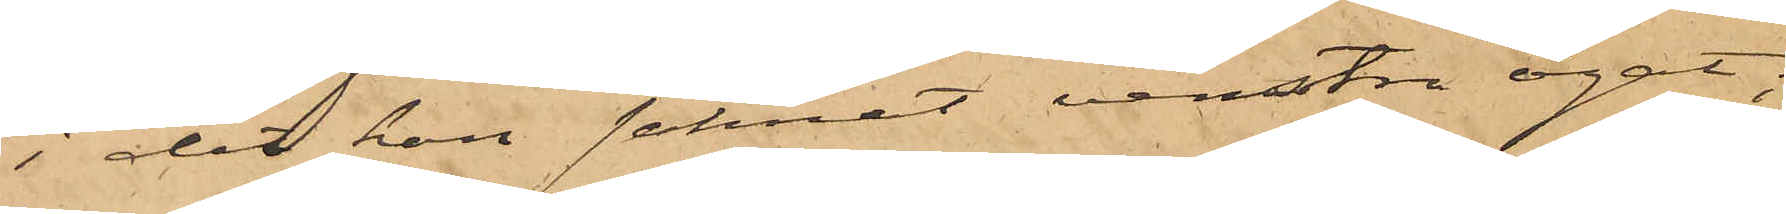i det han saknat vänstra ögat;
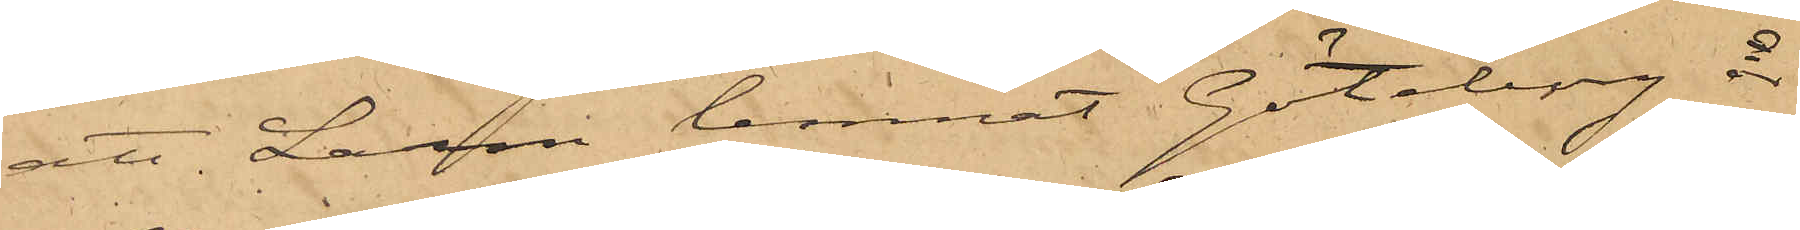att Larm lemnat Göteborg år
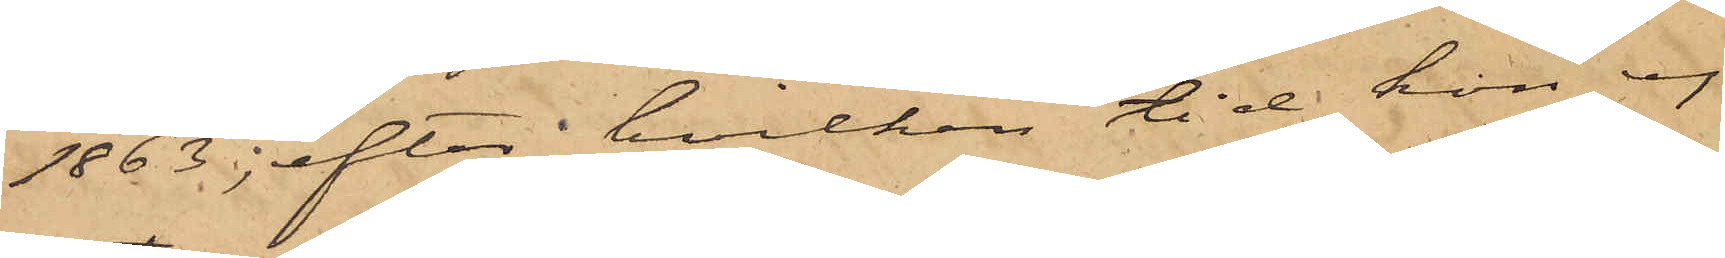1863; efter hvilken tid hon ej
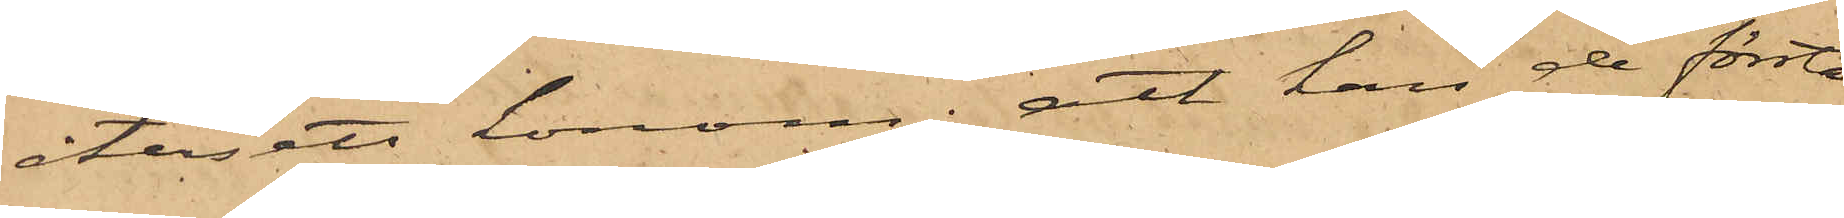återsett honom; att han de första
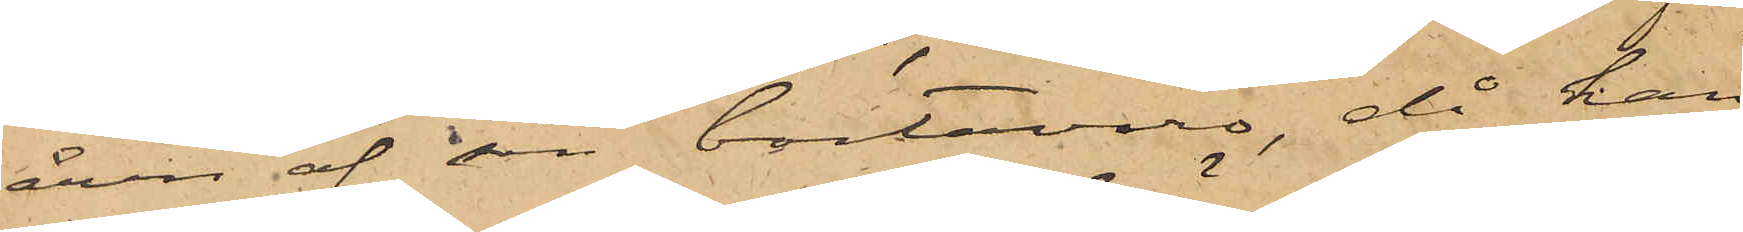åren af sin bortavaro, då han
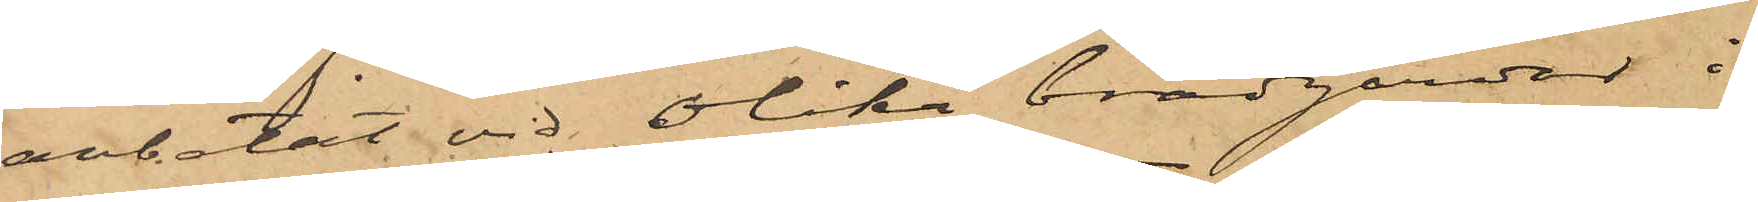arbetat vid olika brädgårdar i
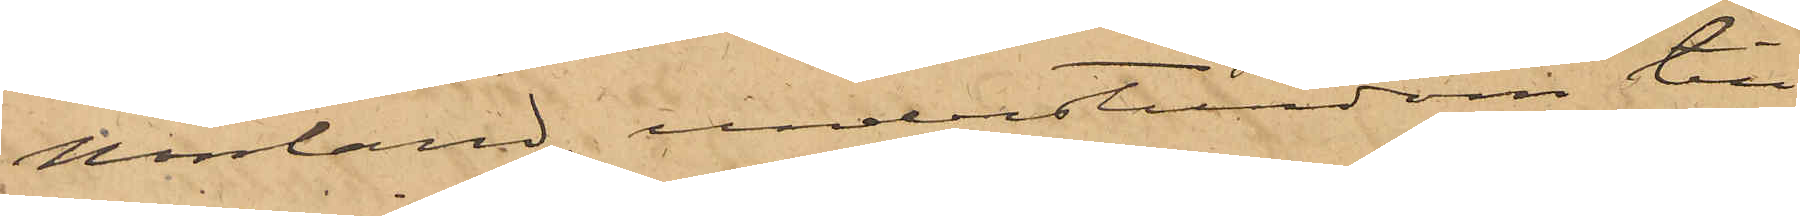Norrland understundom till¬
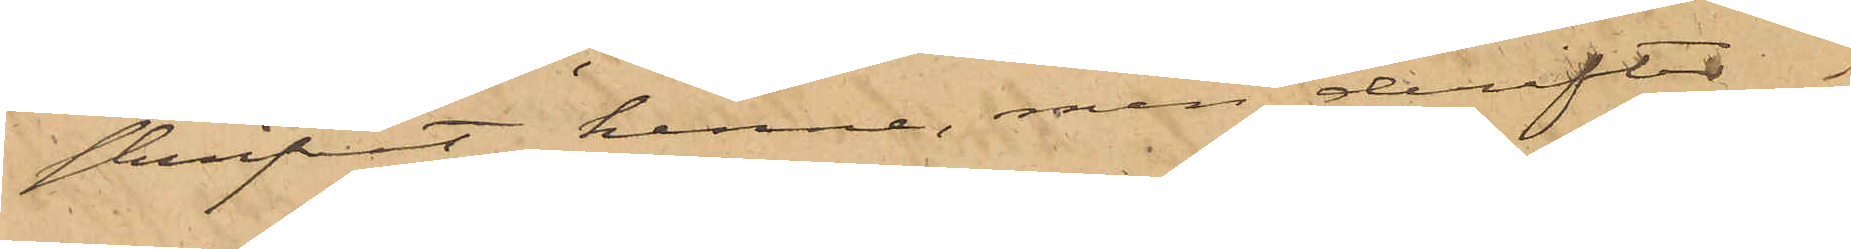skrifvit henne, men derefter
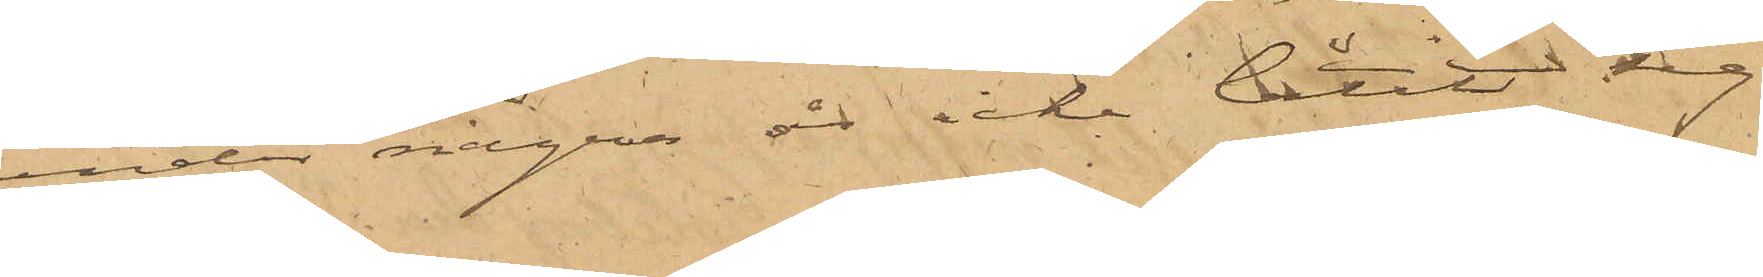under några år icke låtit sig
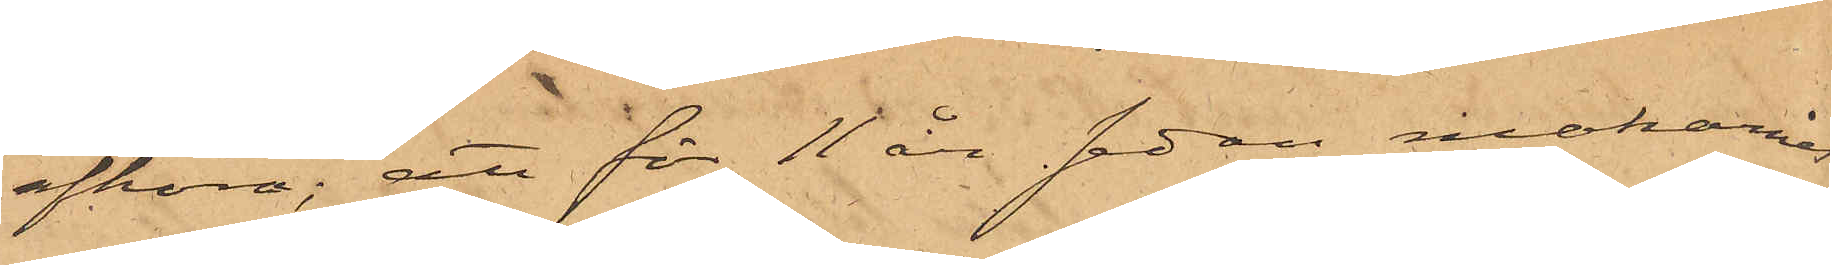afhöra; att för 11 år sedan makarnas
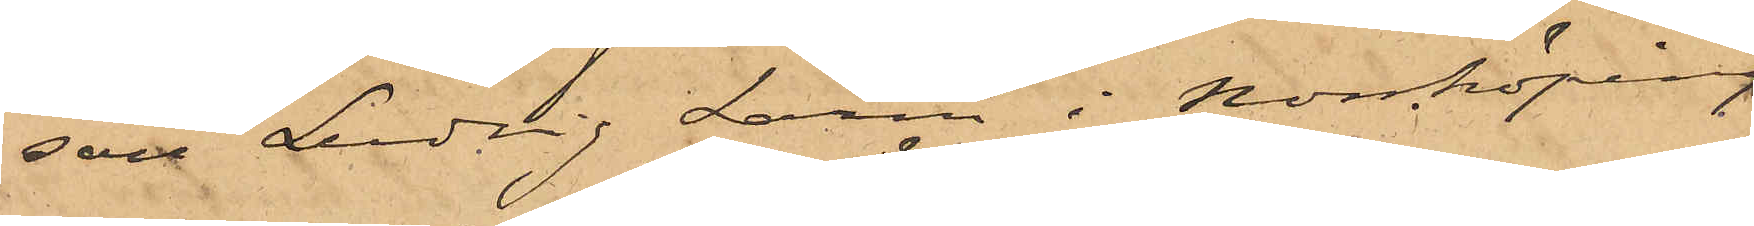son Ludvig Larm i Norrköping
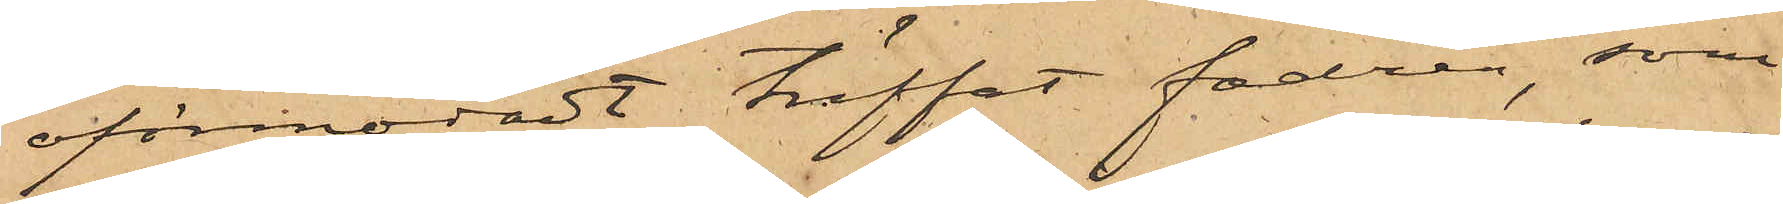oförmodadt träffat fadren, som
